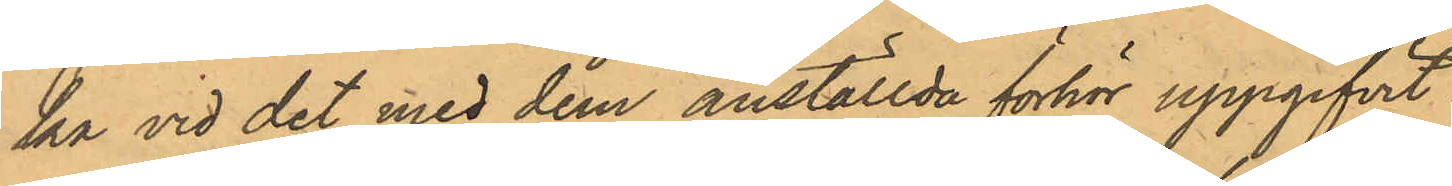ka vid det med dem anställda förhör uppgifvit:
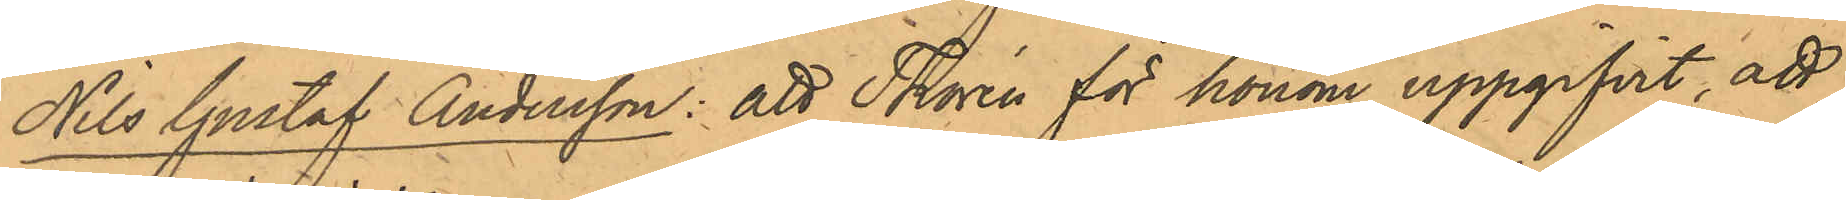Nils Gustaf Andersson: att Thorén för honom uppgifvit, att
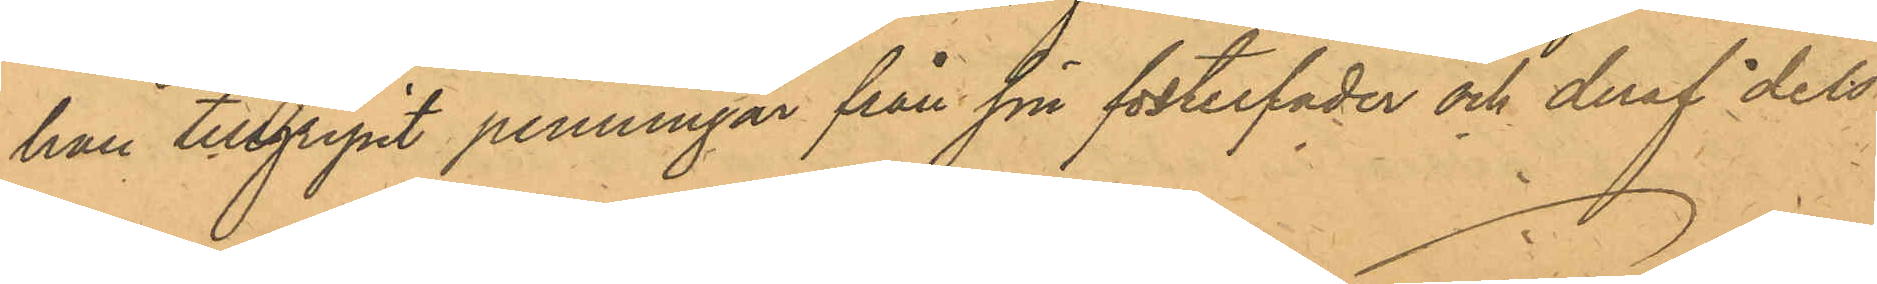han tillgripit penningar från sin fosterfar och deraf dels
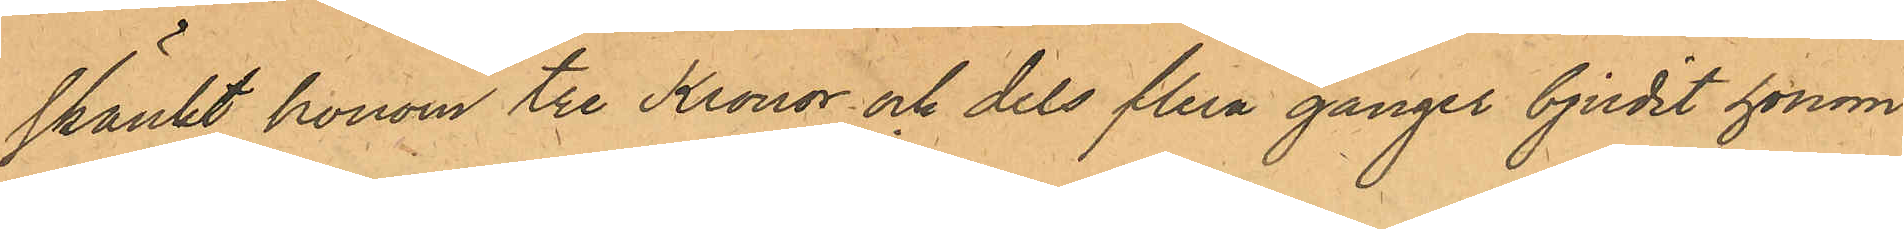skänkt honom tre Kronor och dels flera gånger bjudit honom 
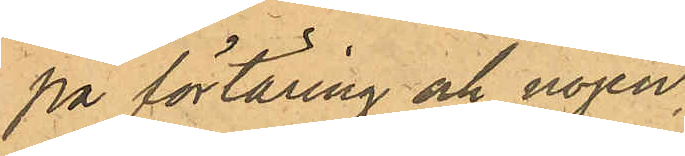på förtäring och nöjen.
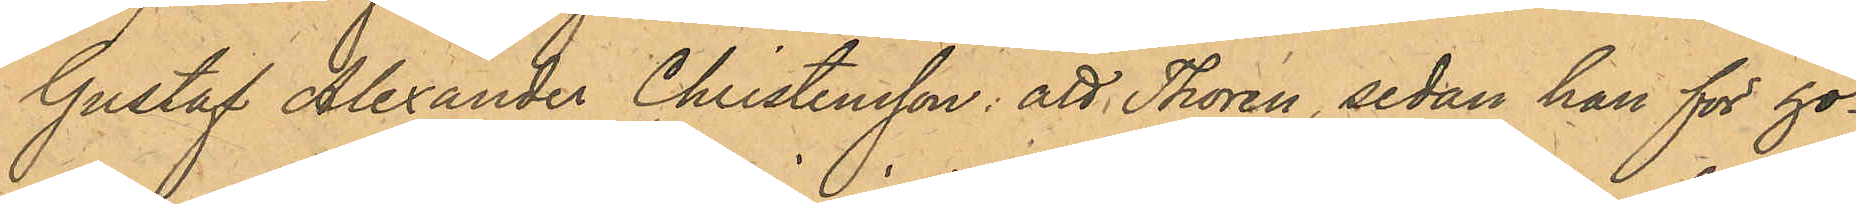Gustaf Alexander Christensson: att Thorén, sedan han för ho¬
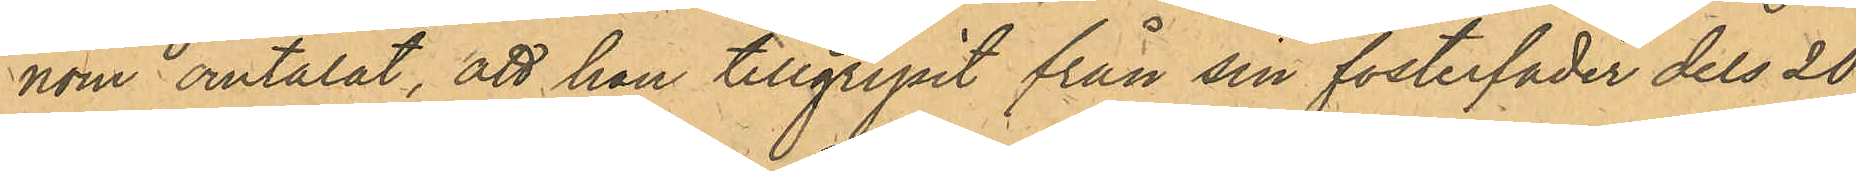nom omtalat, att han tillgripit från sin fosterfader dels 20
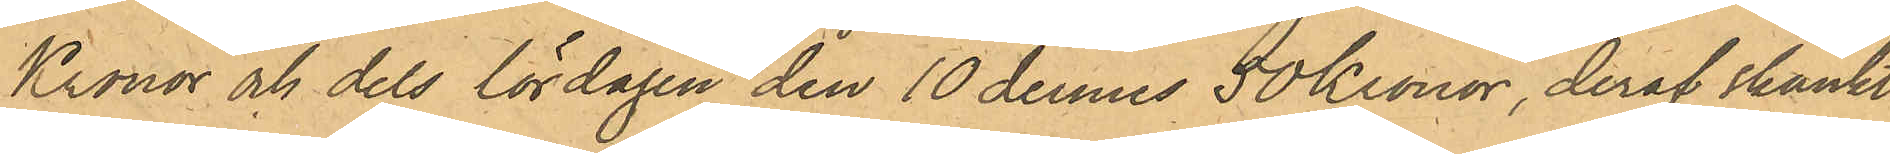Kronor och dels lördagen den 10 dennes 50 Kronor, deraf skänkt
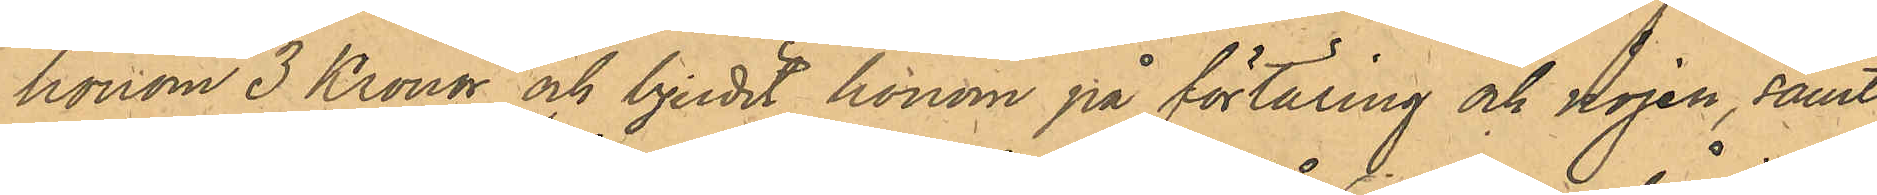honom 3 Kronor och bjudit honom på förtäring och nöjen, samt
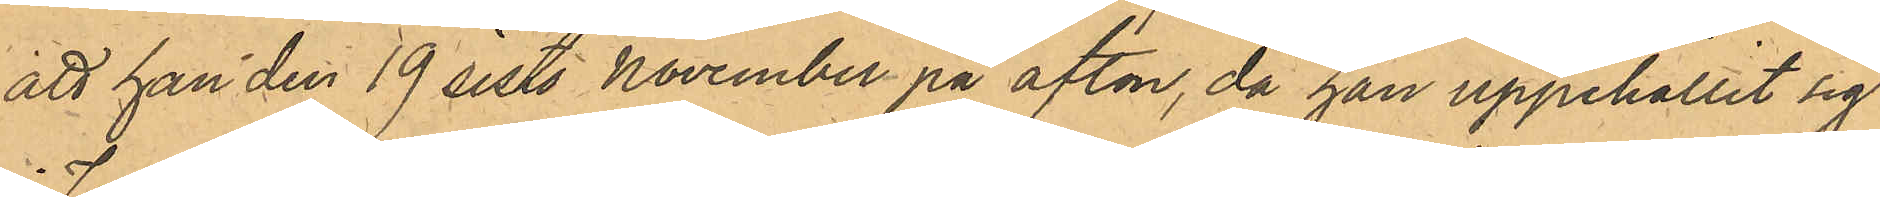att han den 19 sistl. November på afton, då han uppehållit sig
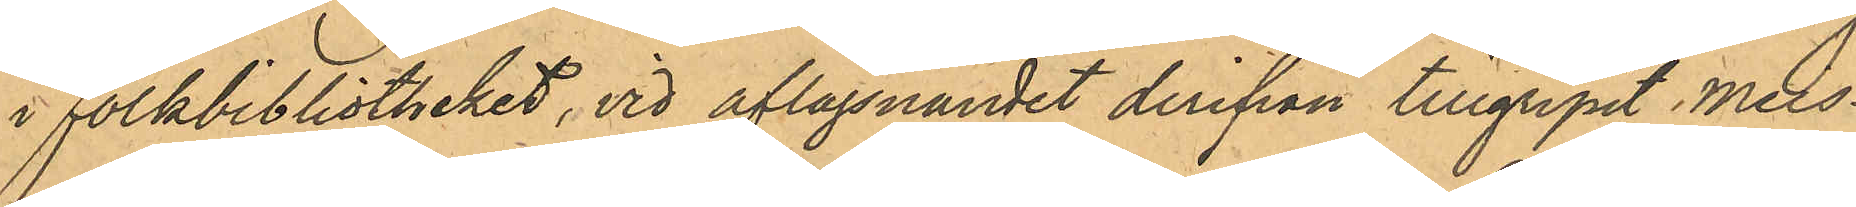i Folkbibliotheket, vid aflägsnandet derifrån tillgripit Meis¬
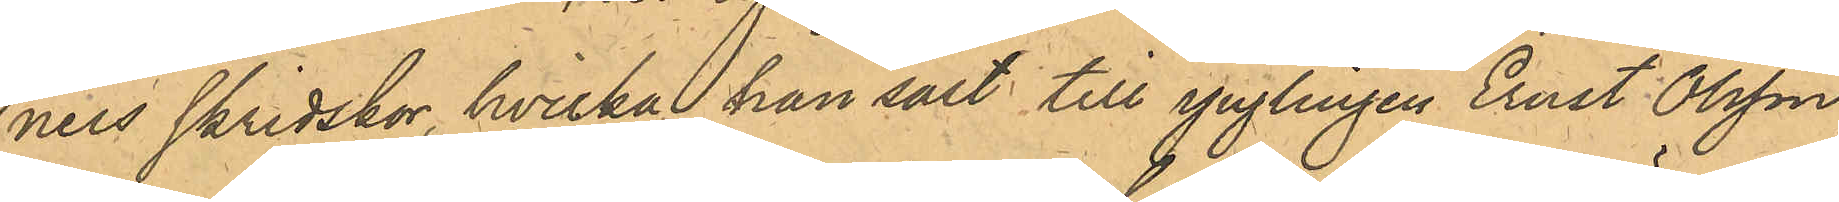ners Skridskor, hvilka han sålt till ynglingen Ernst Olsson,
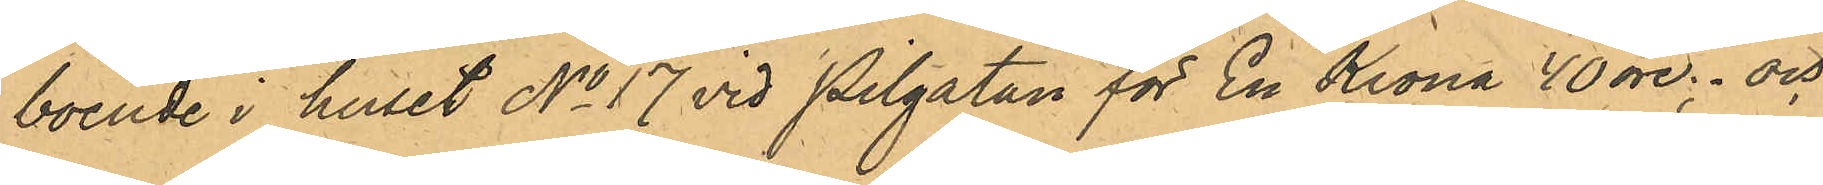boende i huset No 17 vid Pilgatan för En krona 40 öre. och
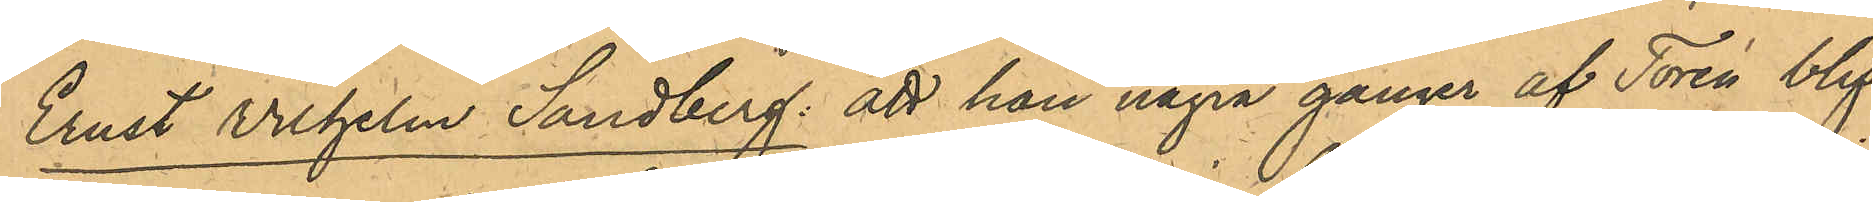Ernst Vilhelm Sandberg: att han några gånger af Torén blif¬ 
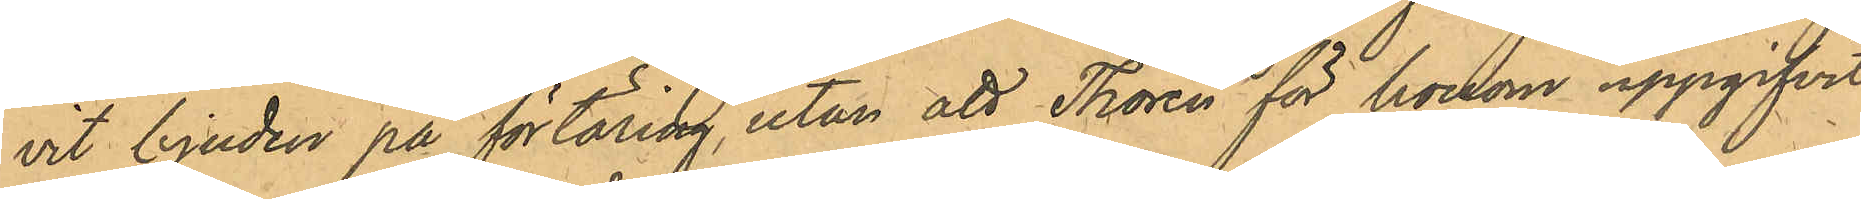vit bjuden på förtäring, utan att Thorén för honom uppgifvit
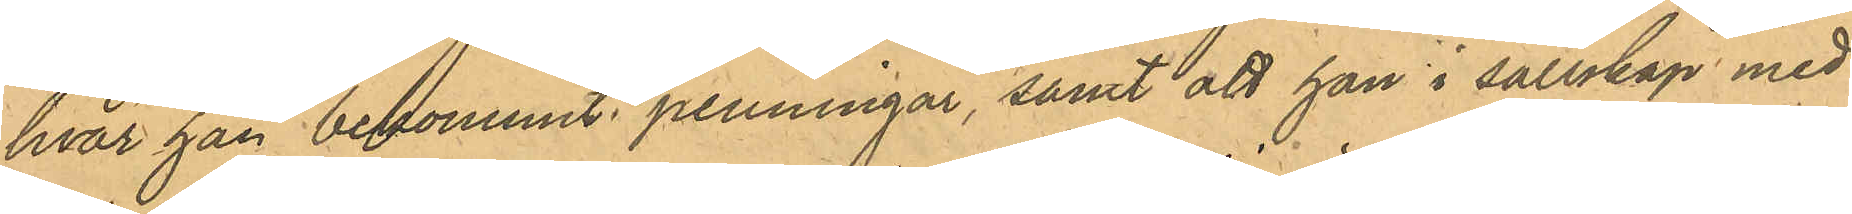hvar han bekommit penningar, samt att han i sällskap med
